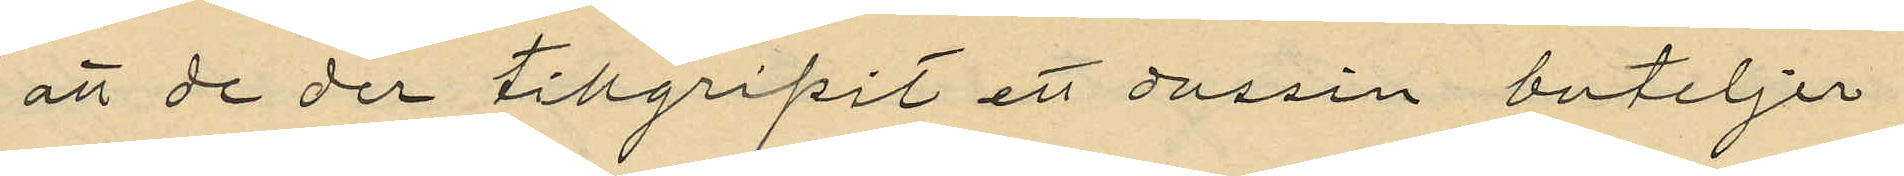att de der tillgripit ett dussin buteljer
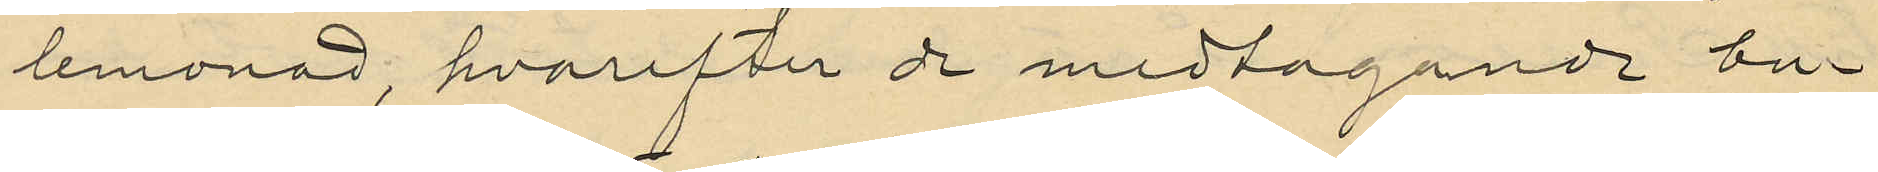lemonad, hvarefter de medtagande bu¬
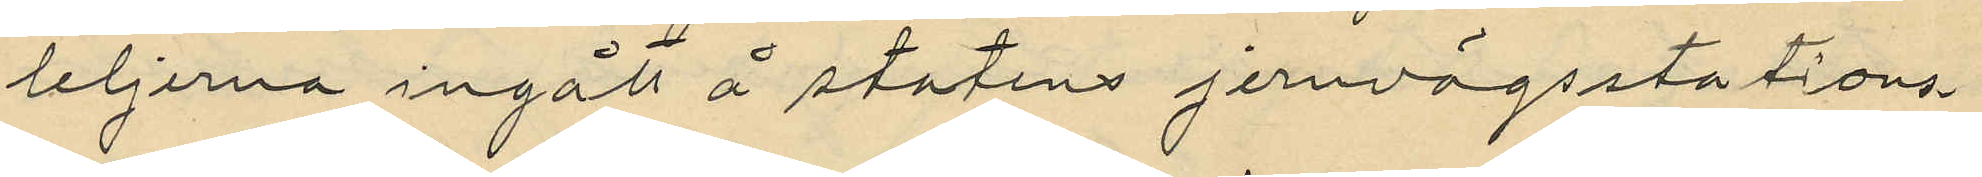leljerna ingått å statens jernvägsstations¬
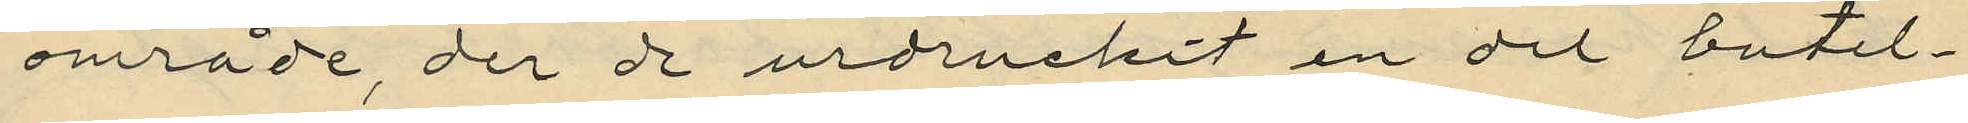område, der de urdruckit en del butel¬
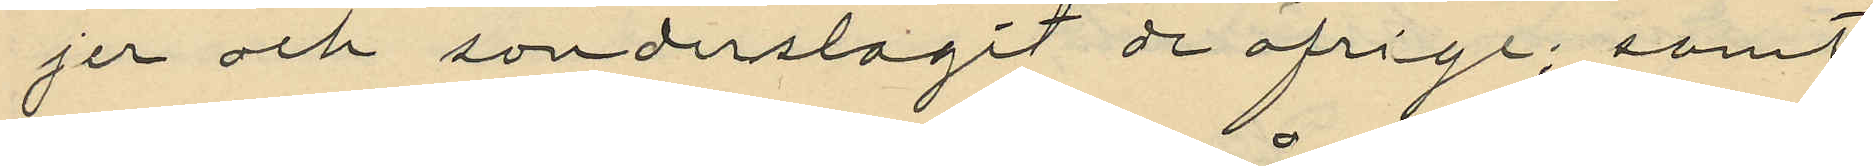jer och sönderslagit de öfrigt; samt
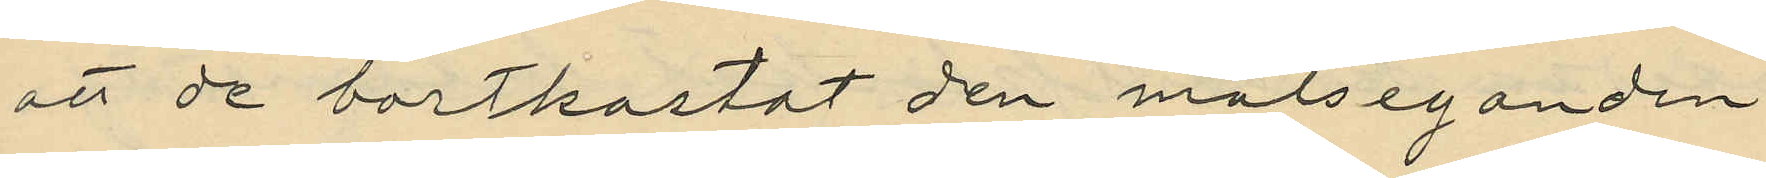att de bortkastat den målseganden
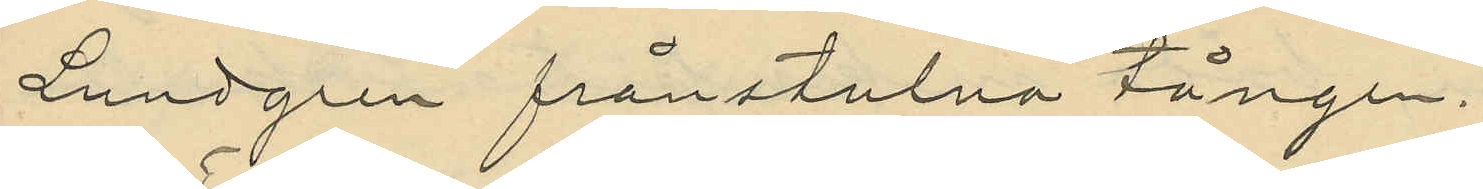Lundgren frånstulna tången.
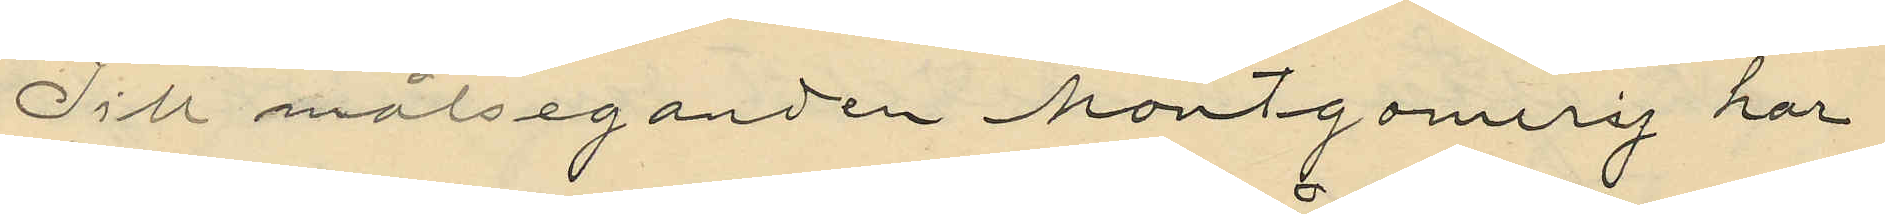Till målseganden Montgomery har
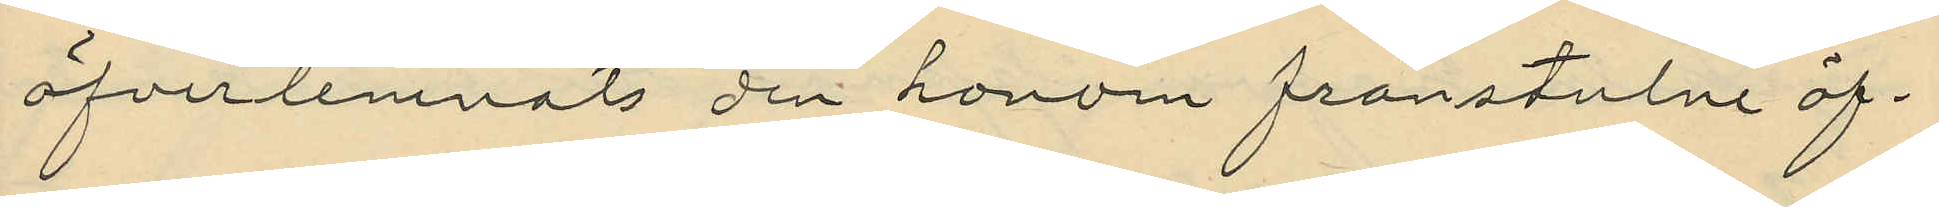öfverlemnats den honom frånstulne öf¬
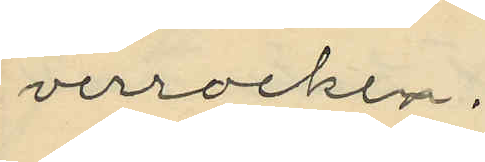verrocken.
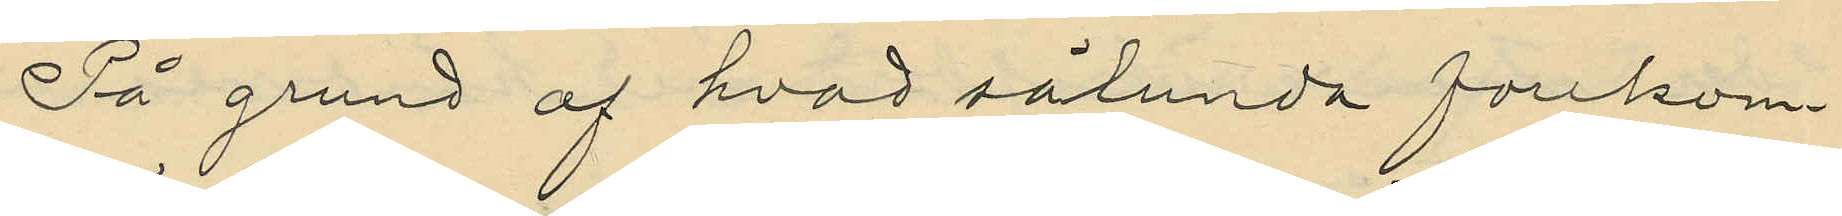På grund af hvad sålunda förekom¬
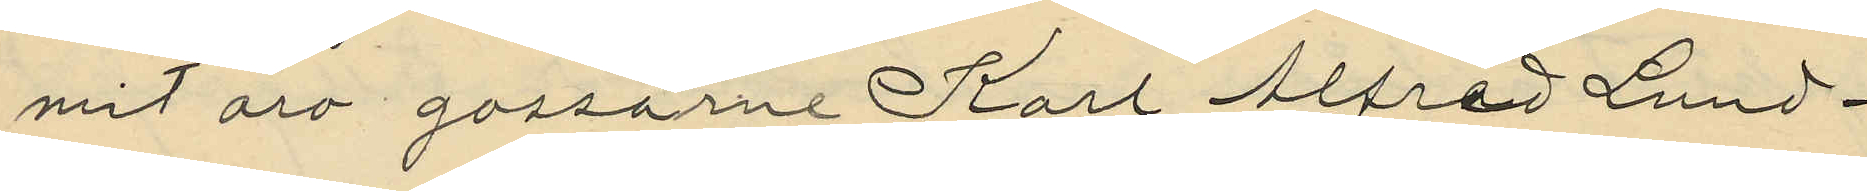mit äro gossarne Karl Alfred Lund¬
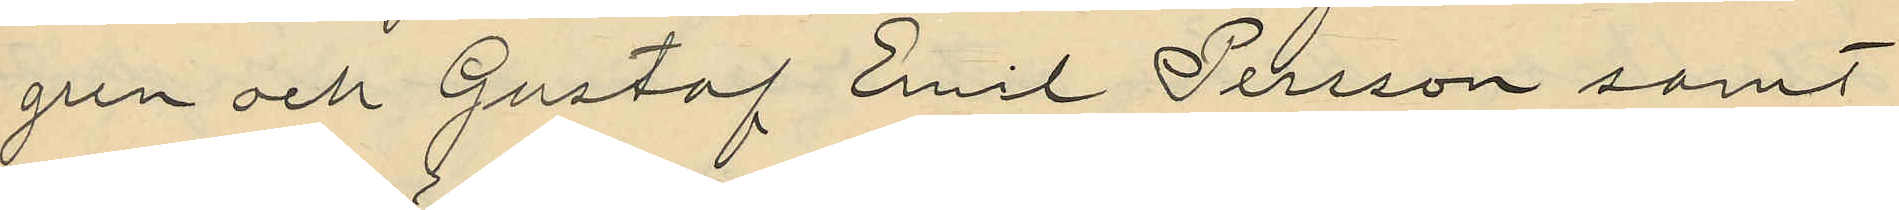gren och Gustaf Emil Persson samt
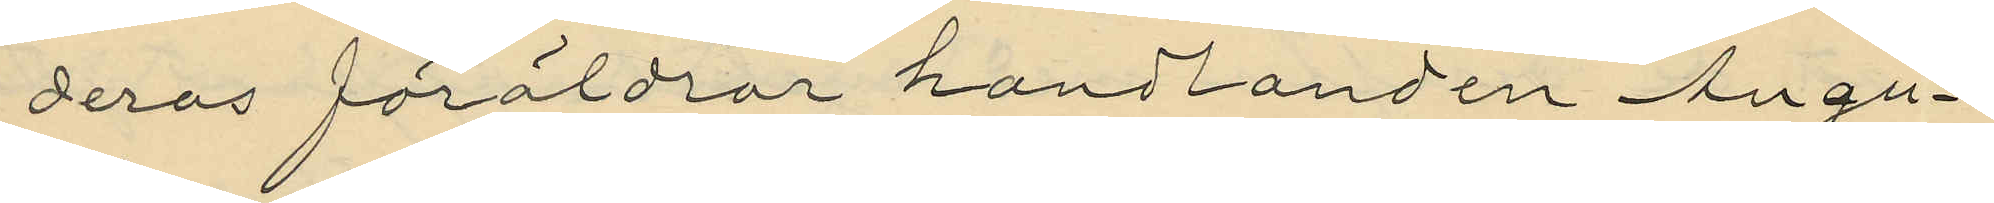deras föräldrar handlanden Augu¬
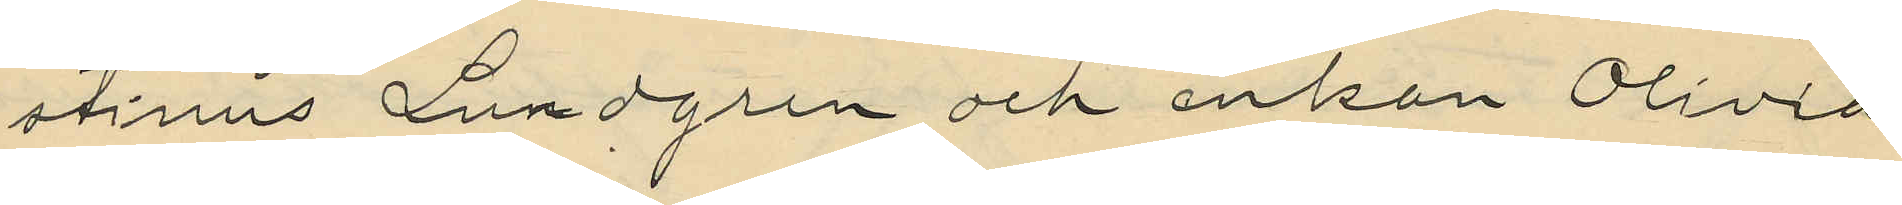stinus Lundgren och enkan Olivia
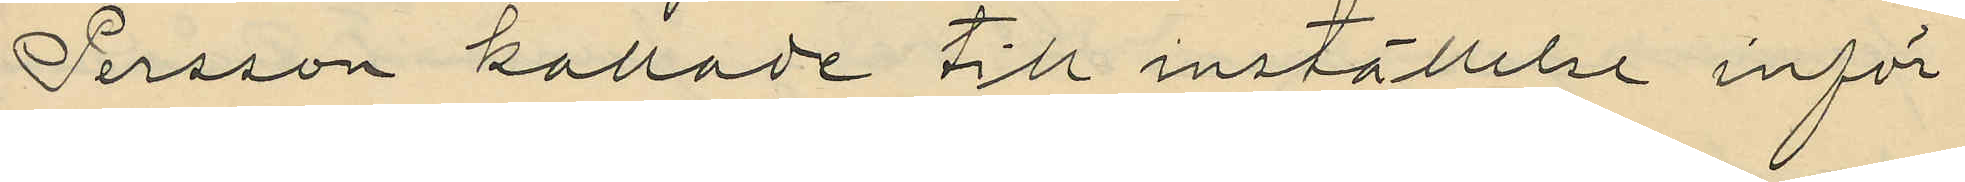Persson kallade till inställelse inför
